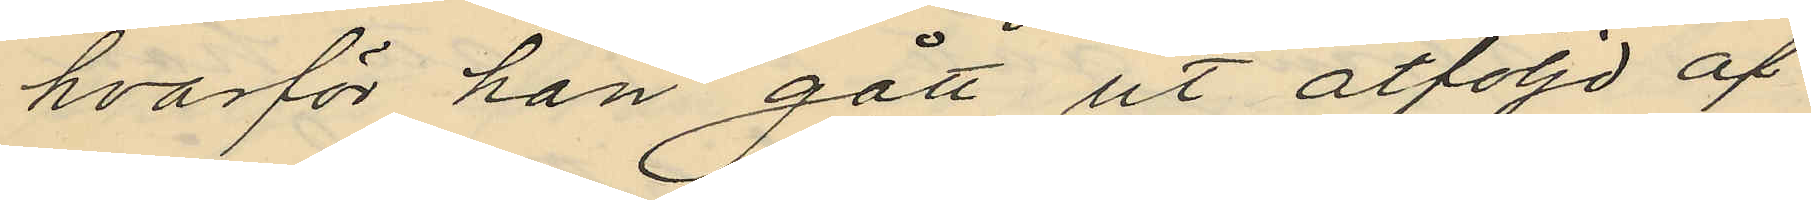hvarför han gått ut åtföljd af
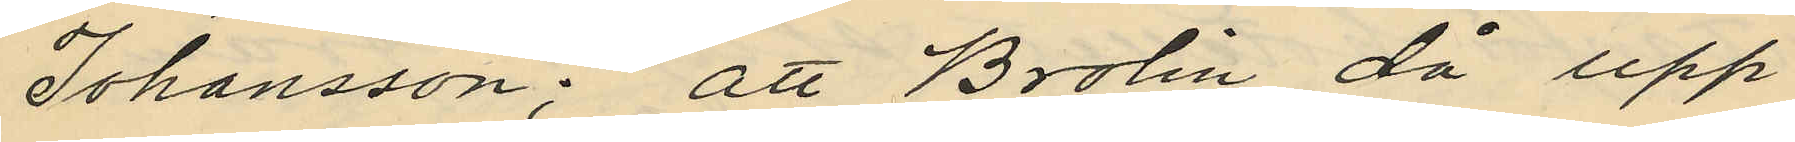Johansson; att Brolin då upp¬
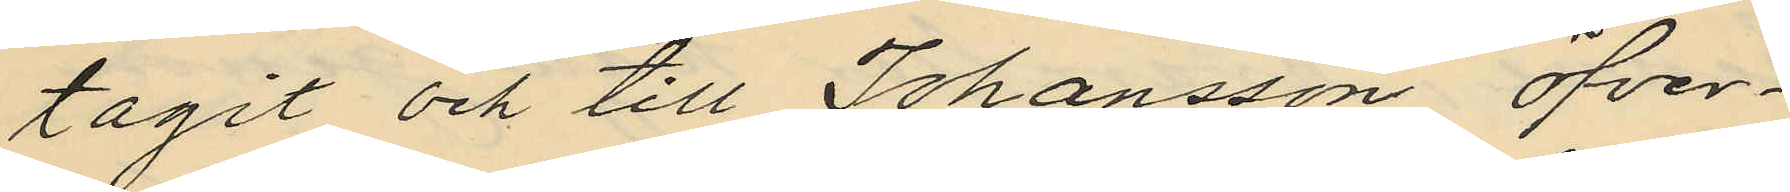tagit och till Johansson öfver¬
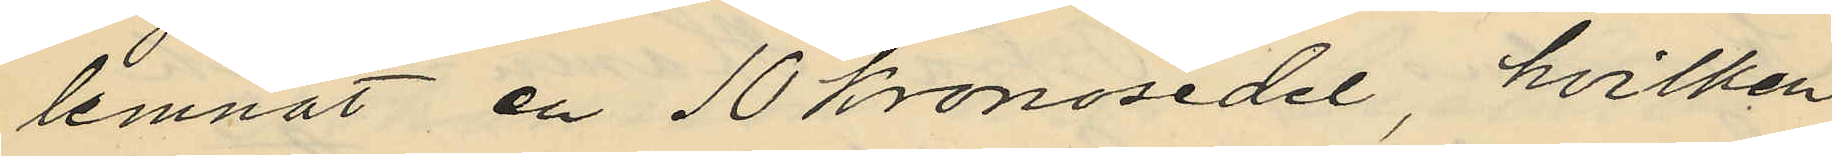lemnat en 10 kronosedel, hvilken
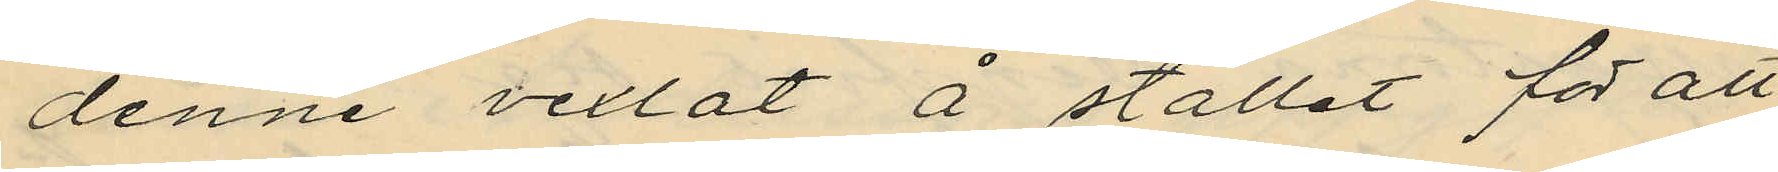denne vexlat å stället för att
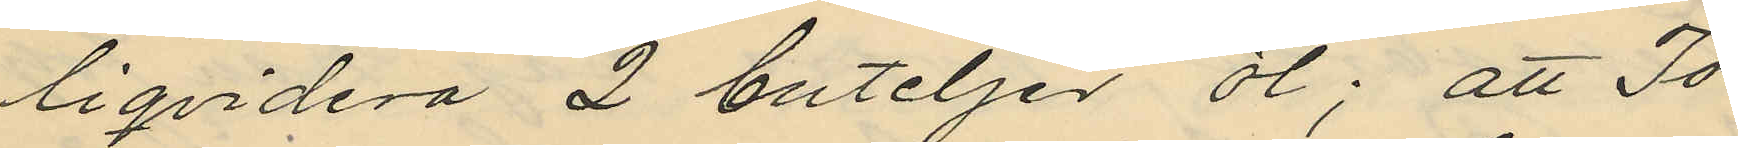liqvidera 2 buteljer öl; att Jo¬
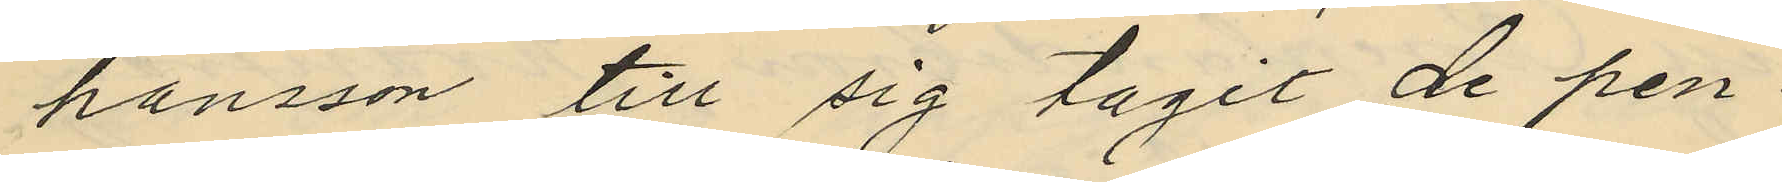hansson till sig tagit de pen¬
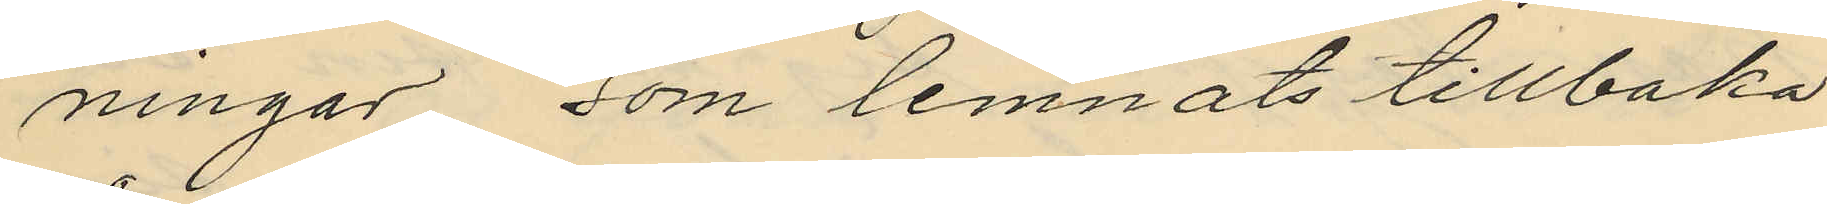ningar, som lemnats tillbaka
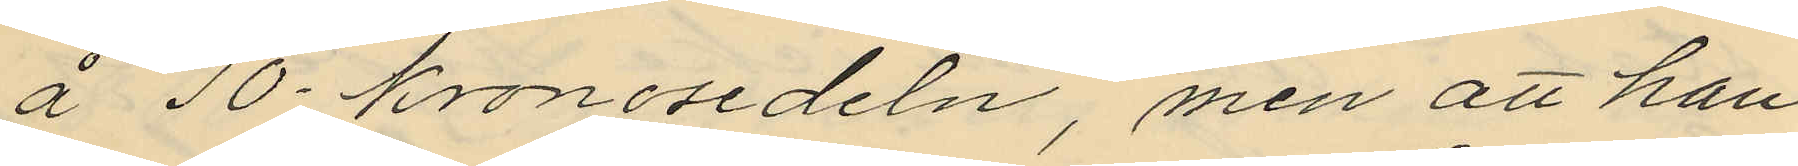å 10-kronosedeln, men att han
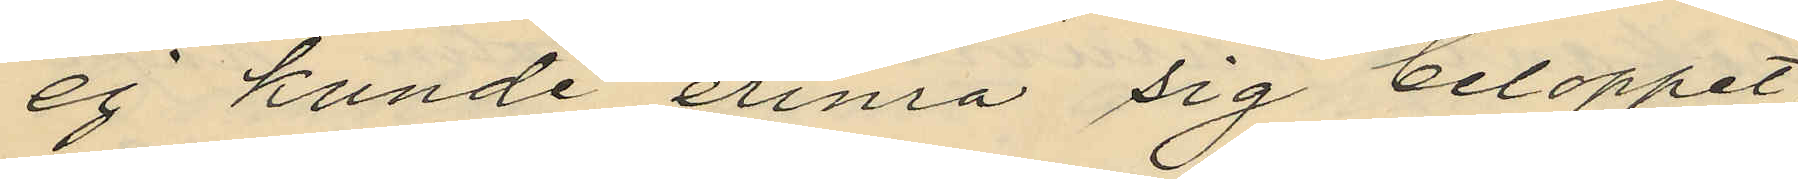ej kunde erina sig beloppet,
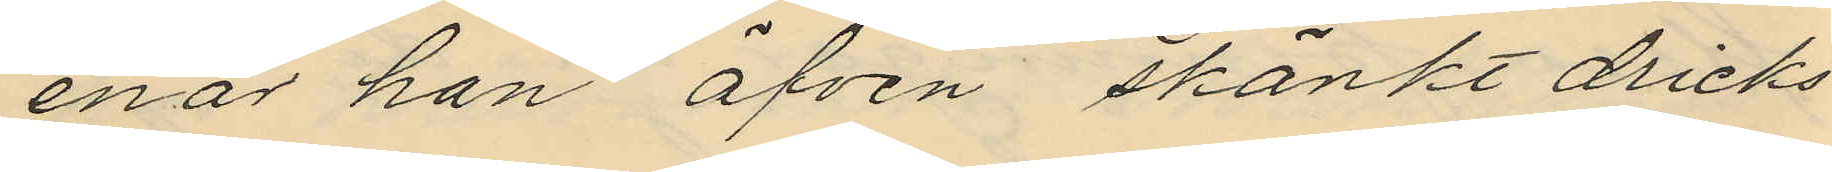enär han äfven skänkt dricks¬
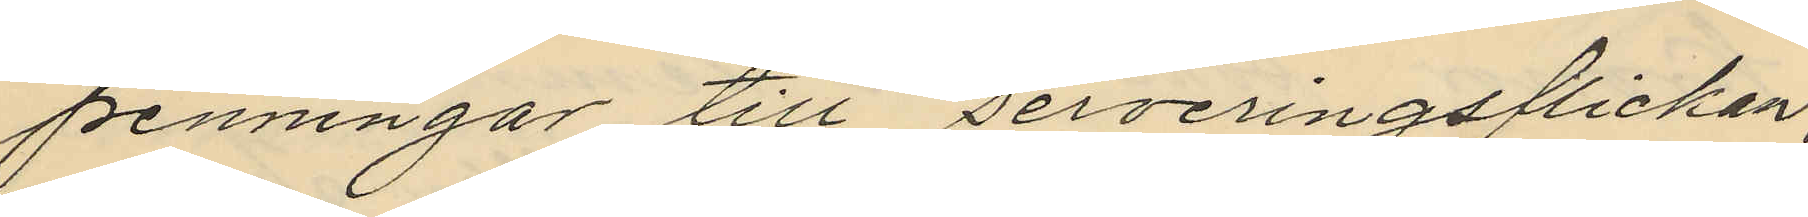penningar till serveringsflickan;
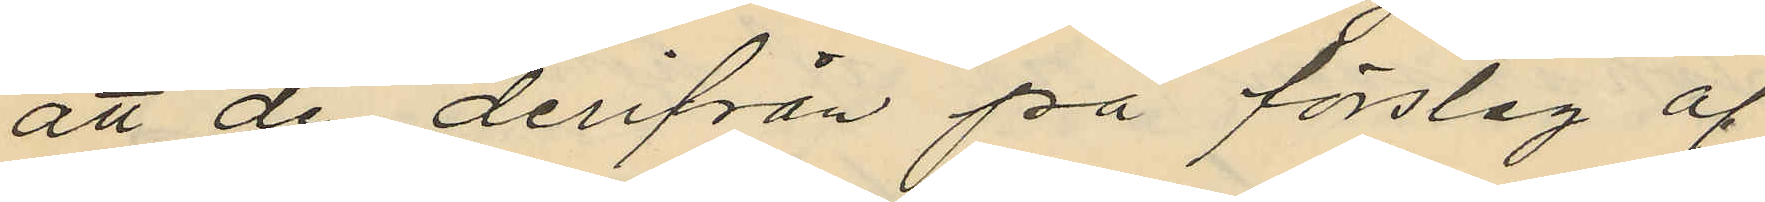att de derifrån på förslag af
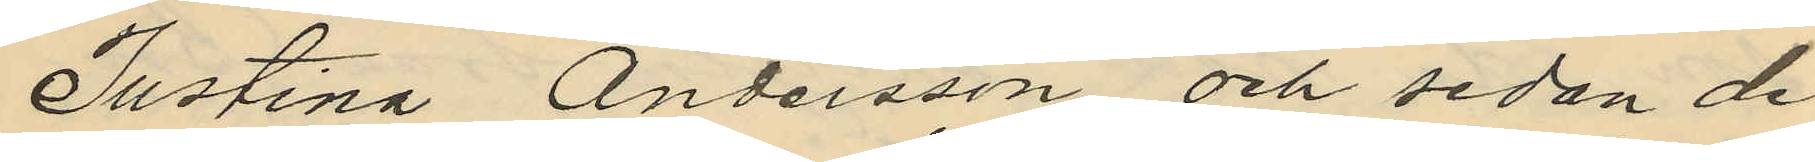Justina Andersson, och sedan de
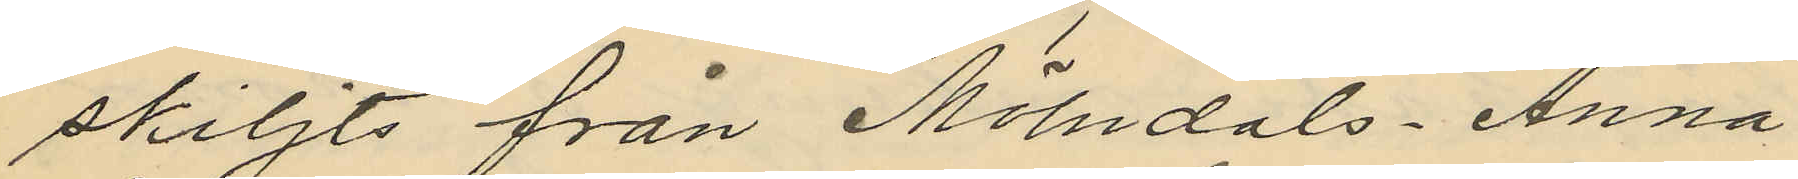skiljts från "Mölndals-Anna"
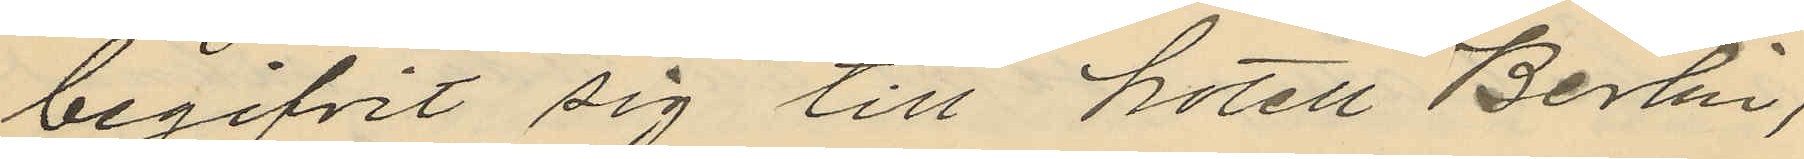begifvit sig till hotell Berlin,
